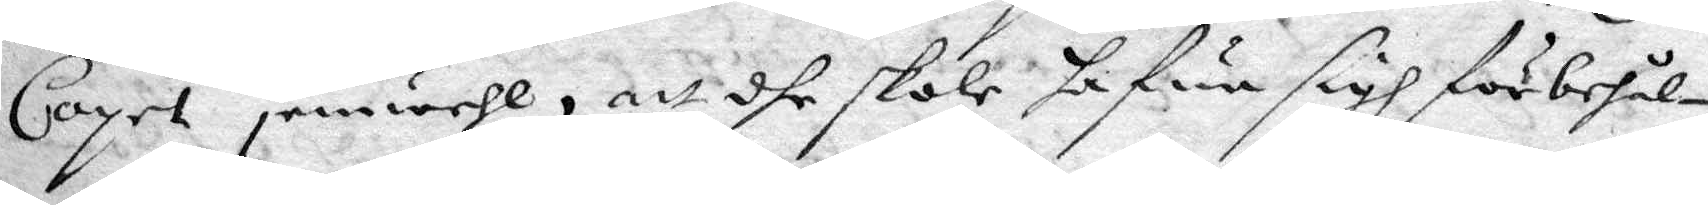Coyet je,wähl, att dhe skole hafwa sigh förbehål¬
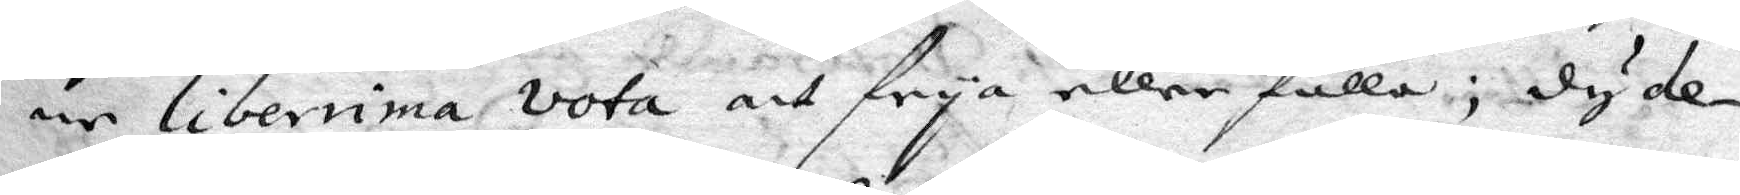ne libenima vota aff frya eller fälla; dy de¬
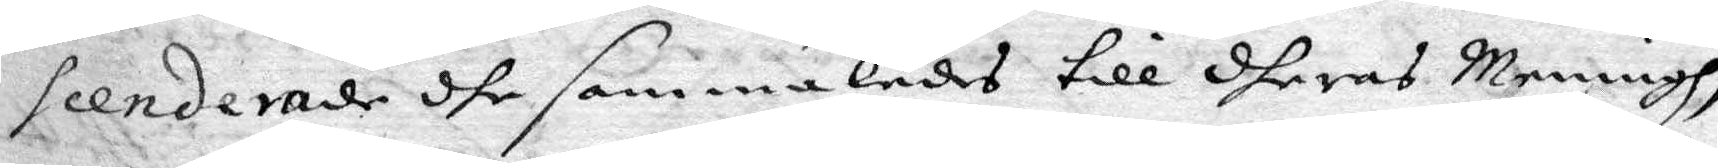seenderade dhe sammaledes till dheras Meningh,
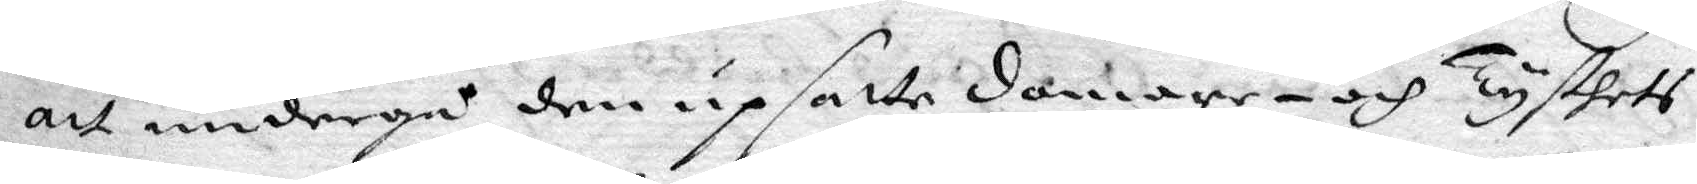att undergå den upsatte domare- och tysthets
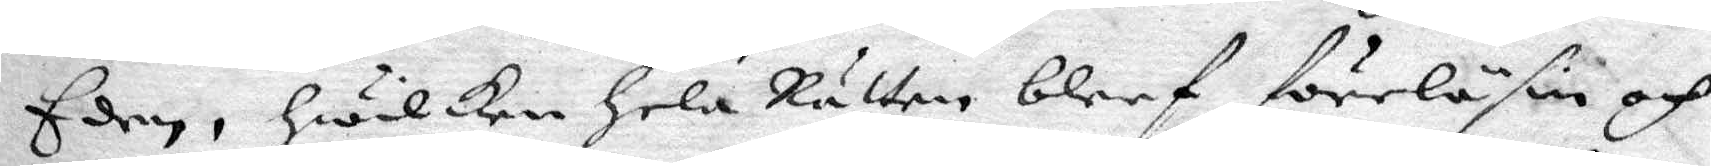Eeden, hwilken hela Rätten bleef föreläsin och
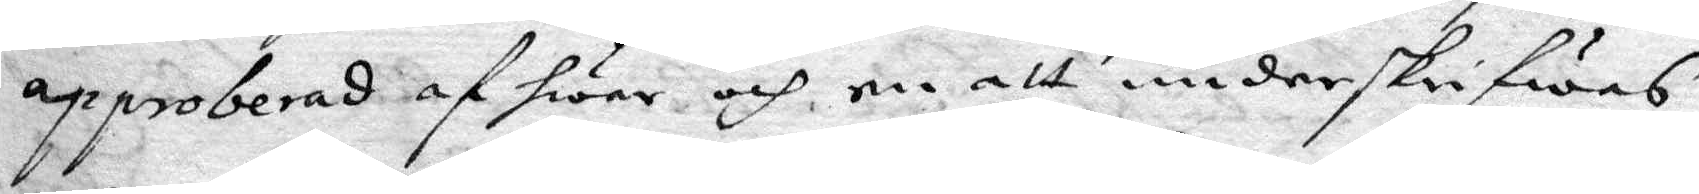approberad af hwar och en att underskrifwas
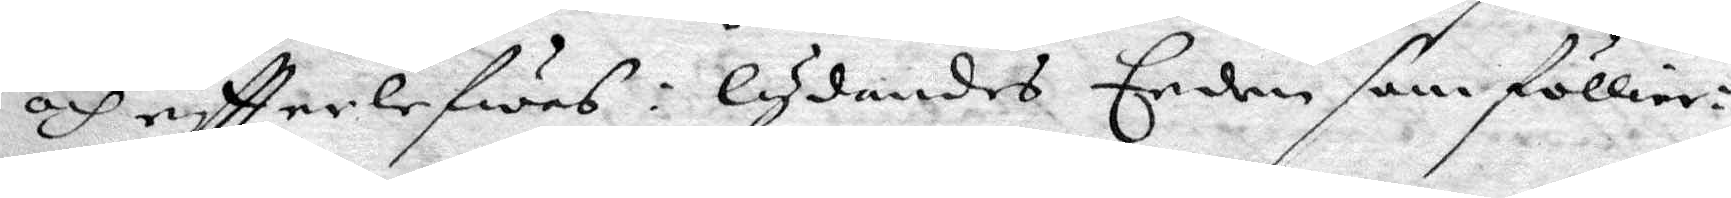och eftterlefwas: lydandes Eeden som föllier:
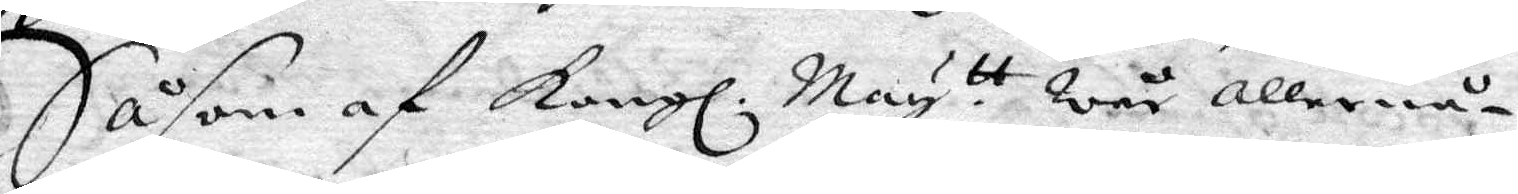Såsom af Kongl. May.tt wår allernå¬
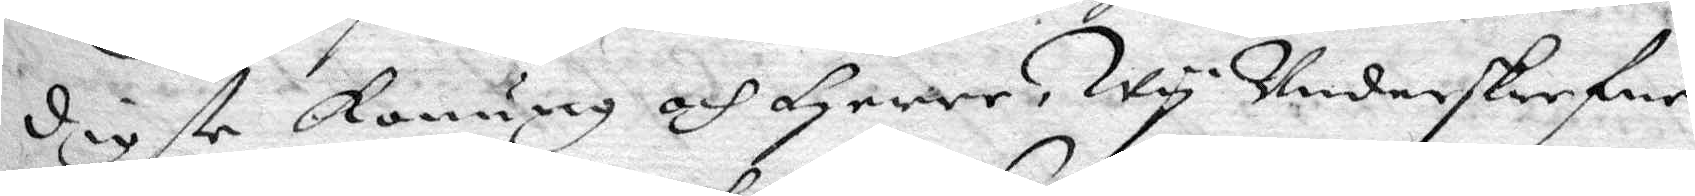digste konung och Herre, Wy Underskrefne
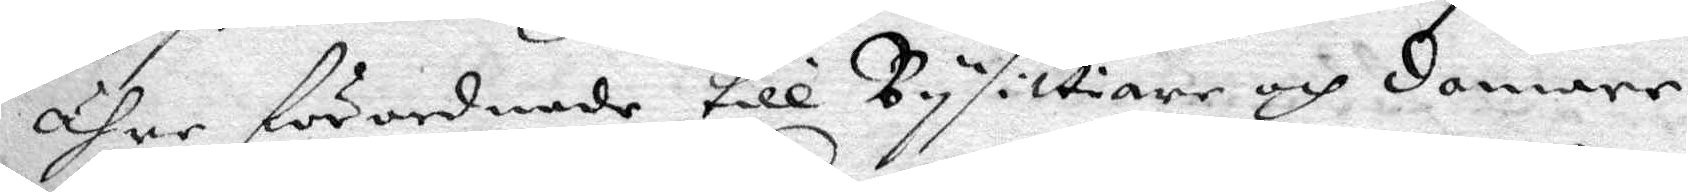ähre förordnade till Bysittare och domare
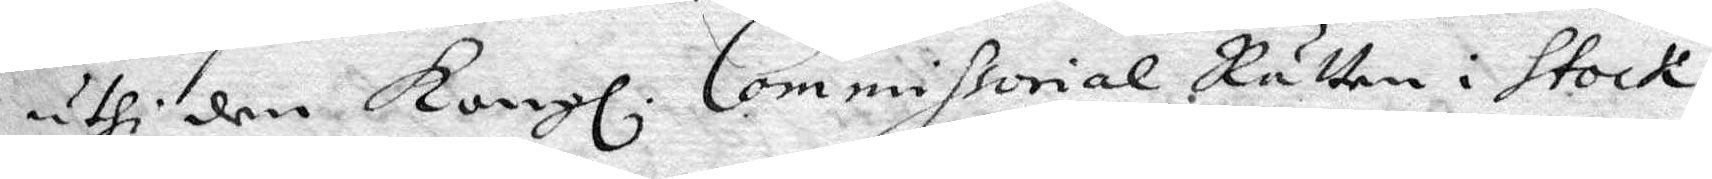uthi den Kongl. Commissorial Rätten i Stock¬
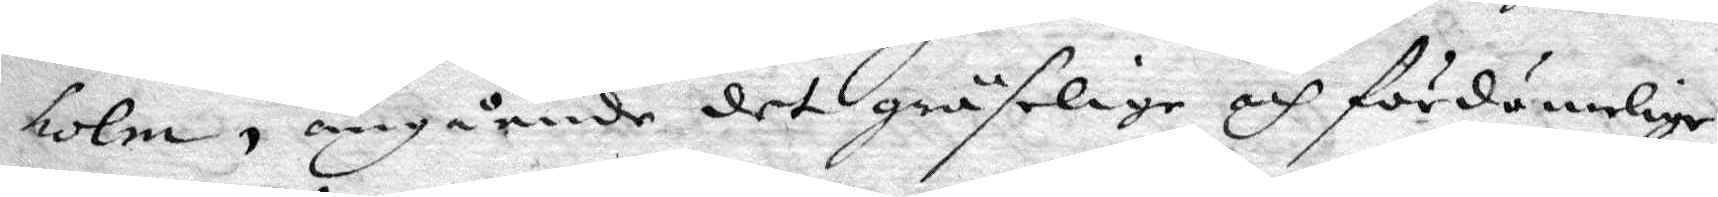holm, angående det gräselige och fördömelige
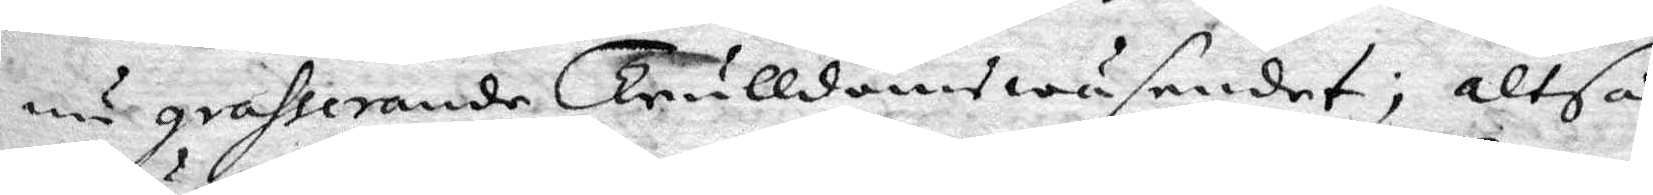nu grasserande trulldomswäsendet; altså
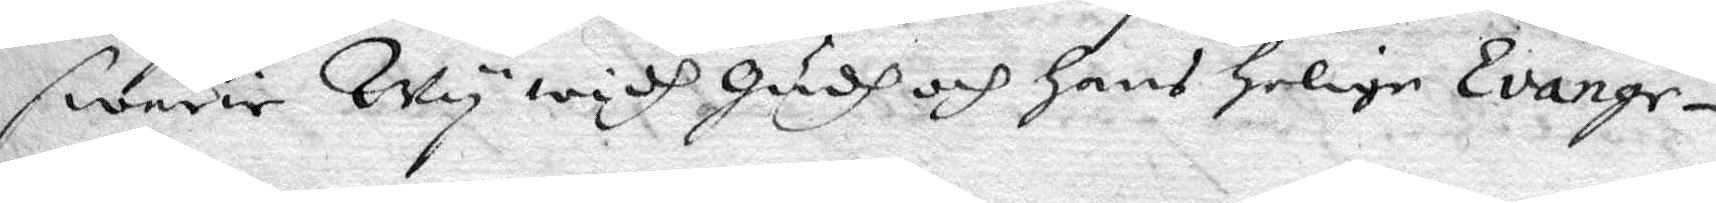swärir Wy widh gudh och hans helige Evange¬
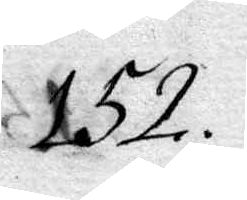152.
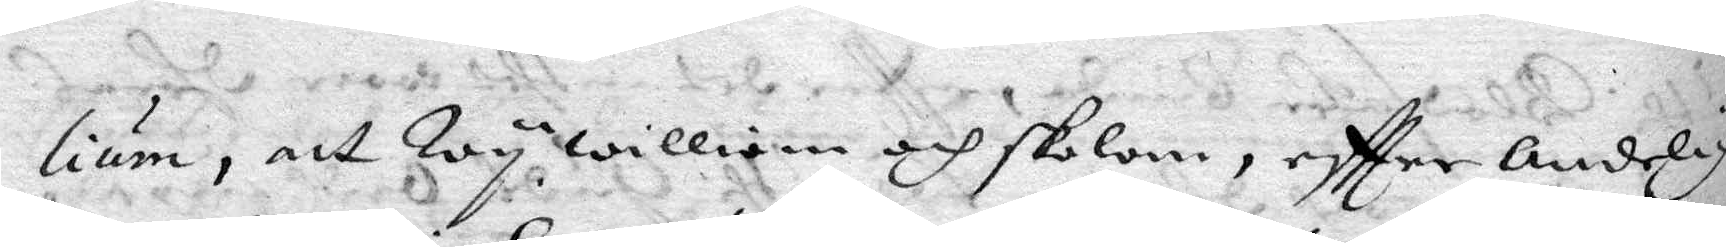lium, att Wy willigen och skolom, eftter Andelig
